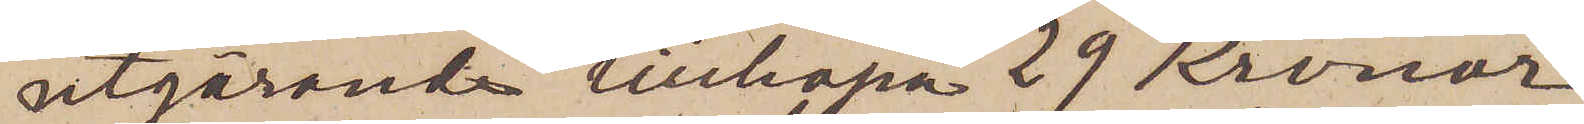utgörande tillhopa 29 Kronor,
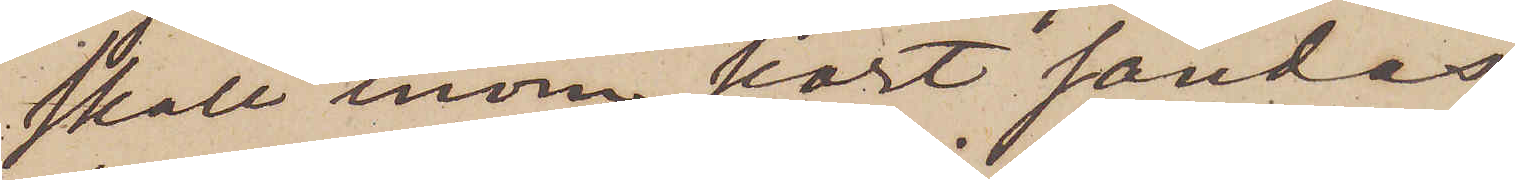skall inom kort sändas;
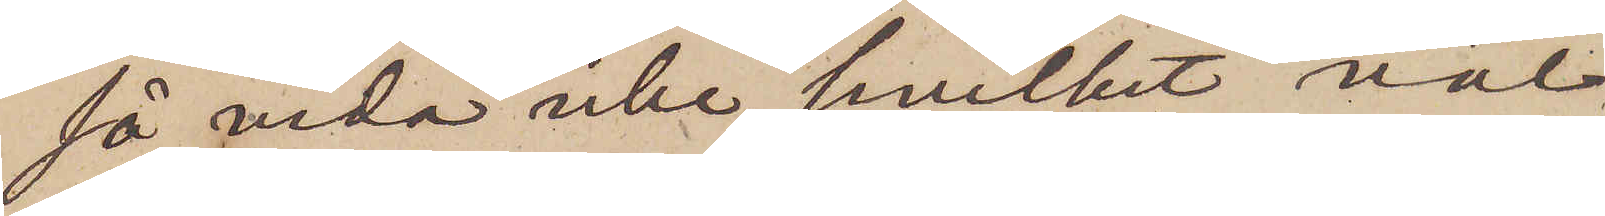så vida icke, hvilket väl
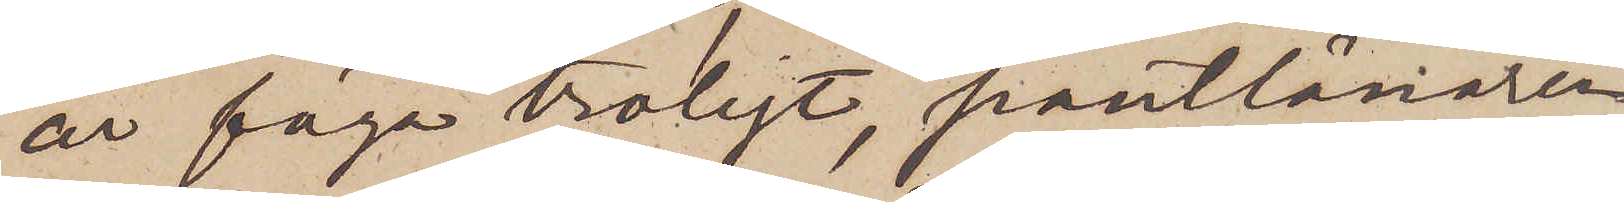är föga troligt, pantlånaren
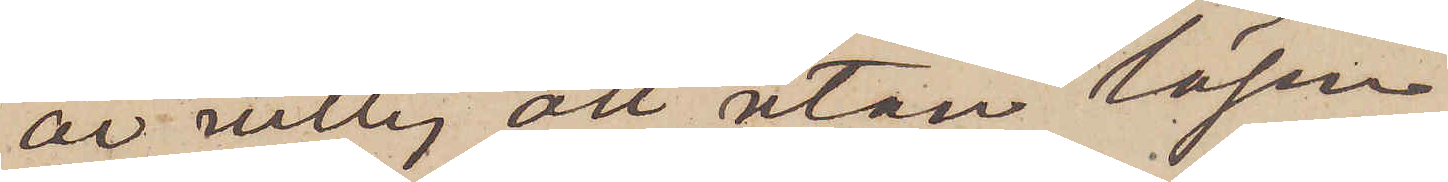är villig att utan lösen
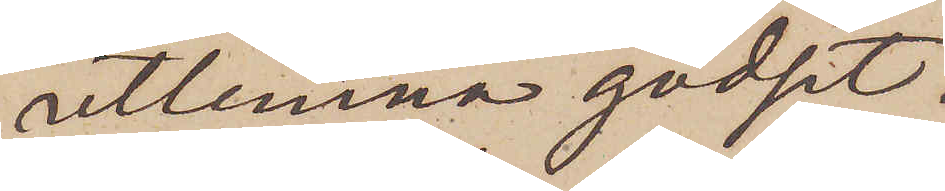utlemna godset.
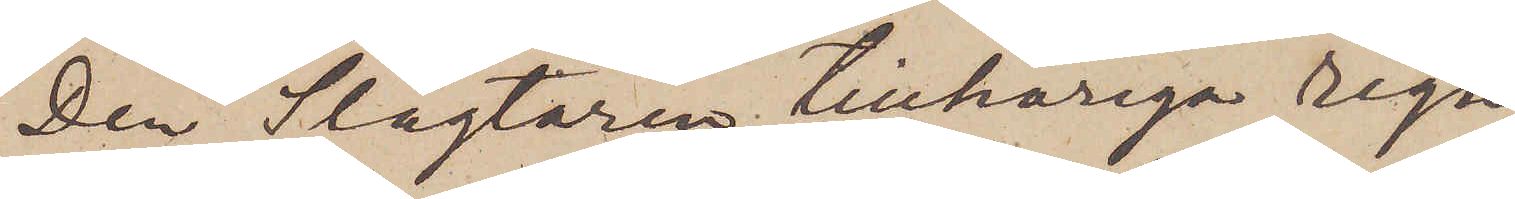Den Slagtaren tillhöriga regn¬
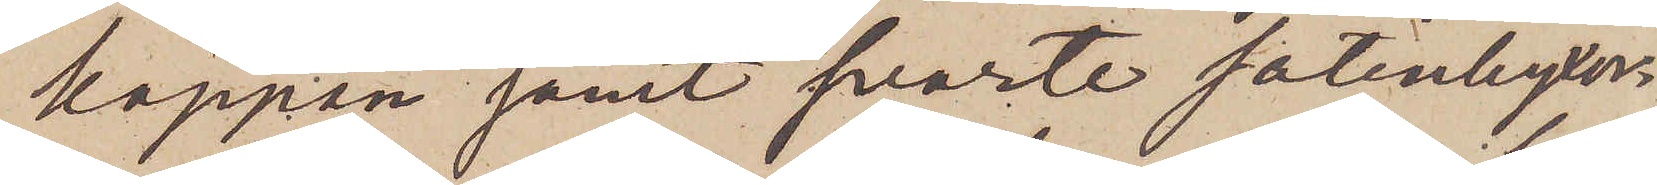kappan samt de svarte satinbyxor¬
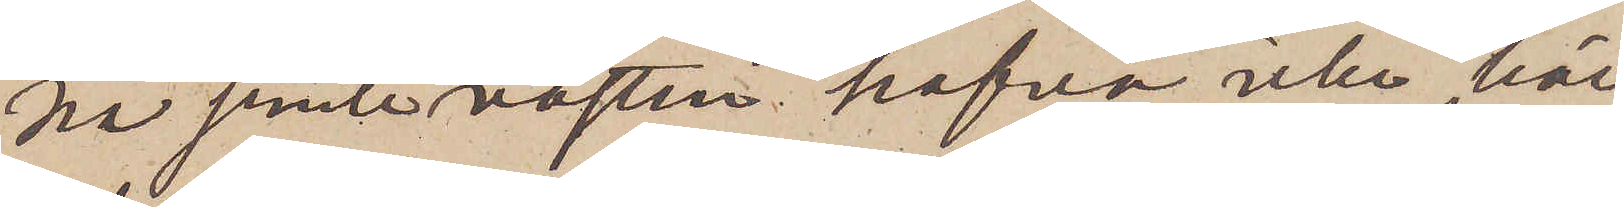na jemte västen hafva icke här
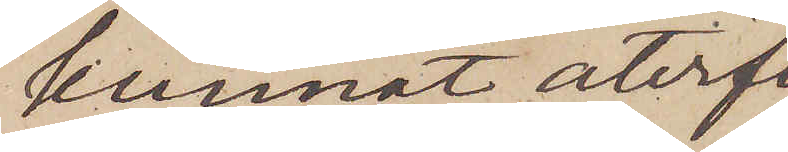kunnat återf¬
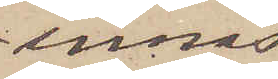innas.
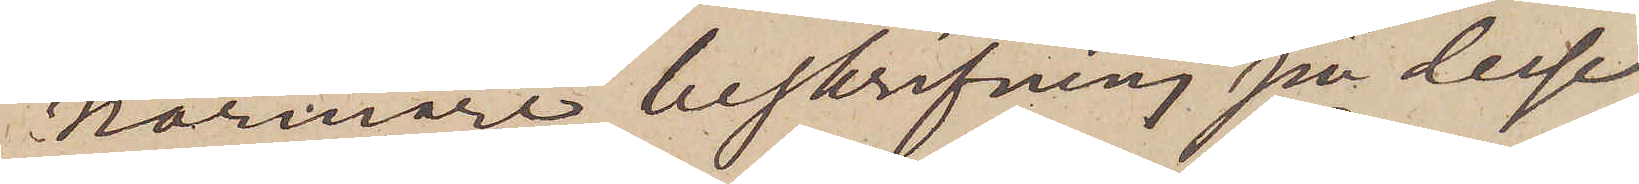Närmare beskrifning på desse
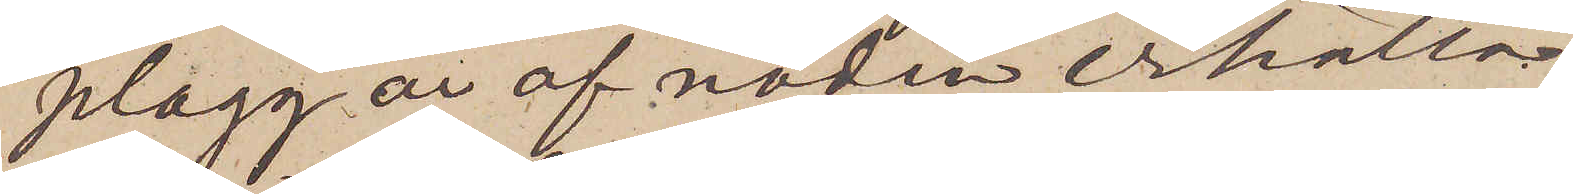plagg är af nöden erhålla.
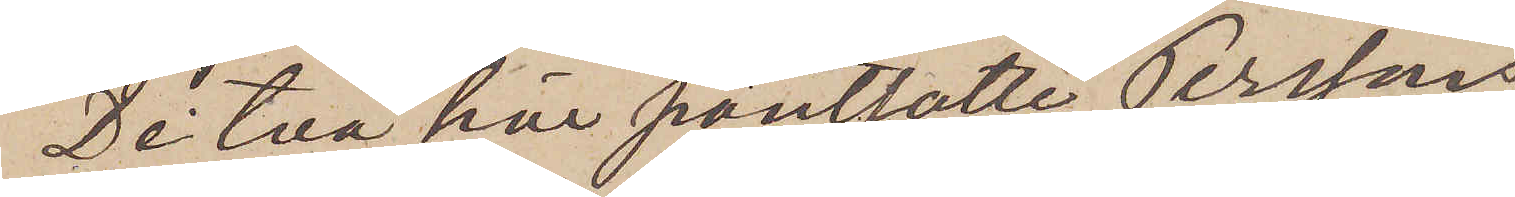De två här pantsatte Perssons
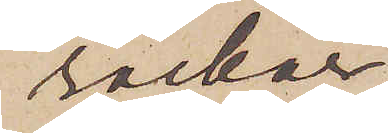rockar,
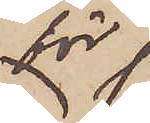för
